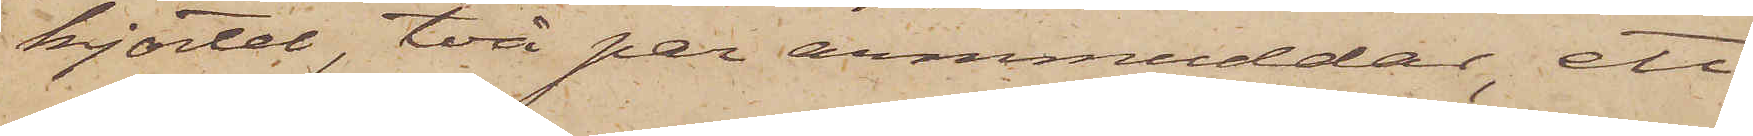kjortel, två par armmuddar, ett
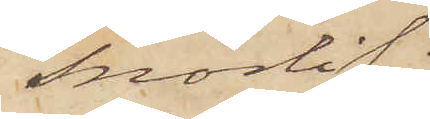snörlif
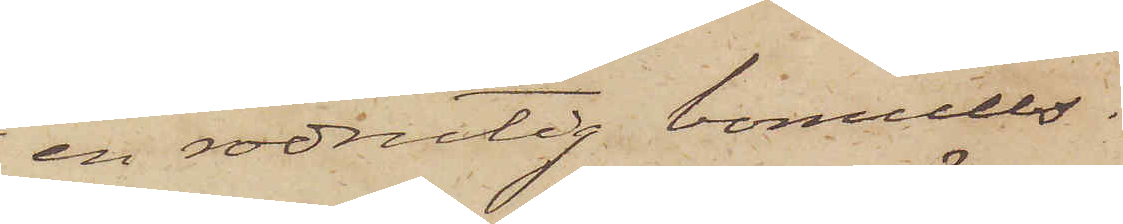en rödrutig bomulls¬
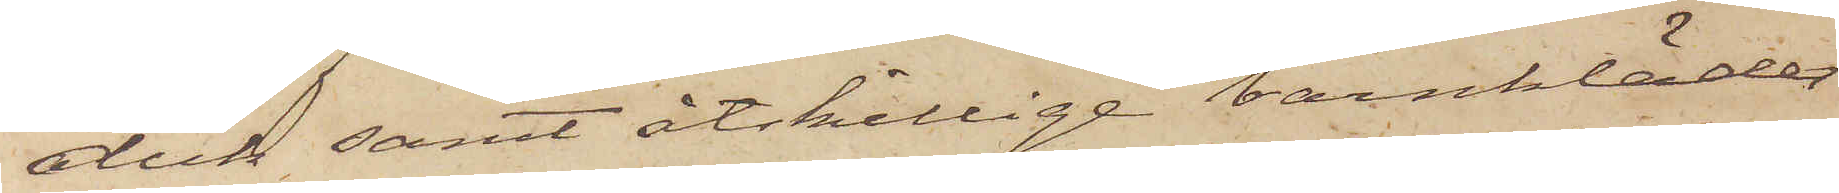duk samt åtskillige barnkläder
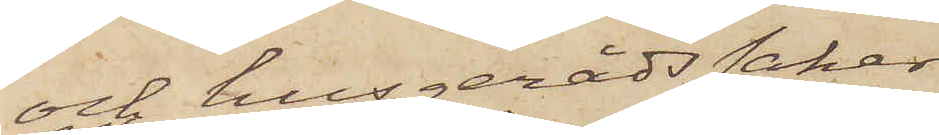och husgerådssaker.
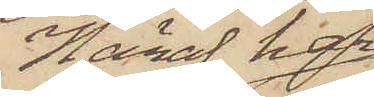Häraf har
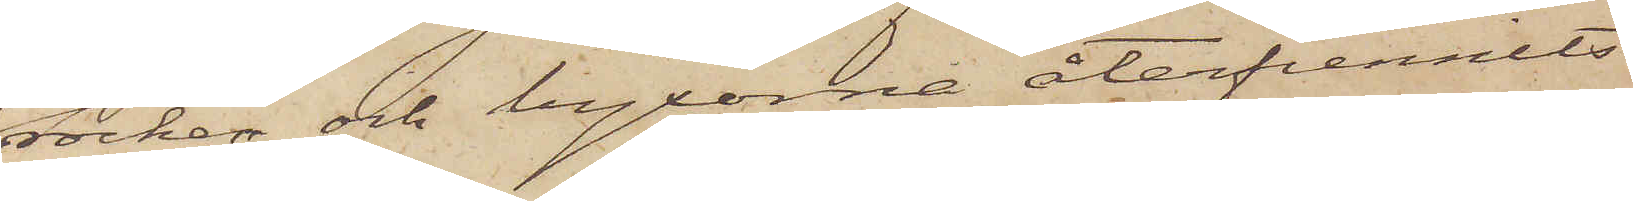rocken och byxorne återfunnits
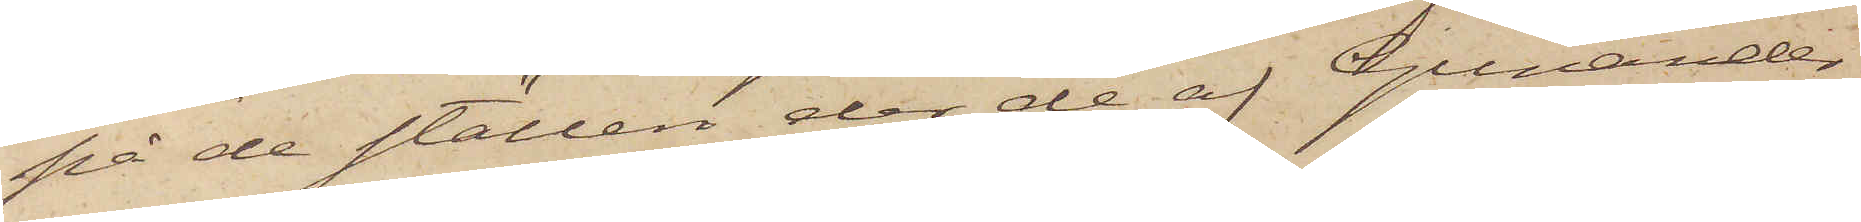på de ställen der de af Gunander
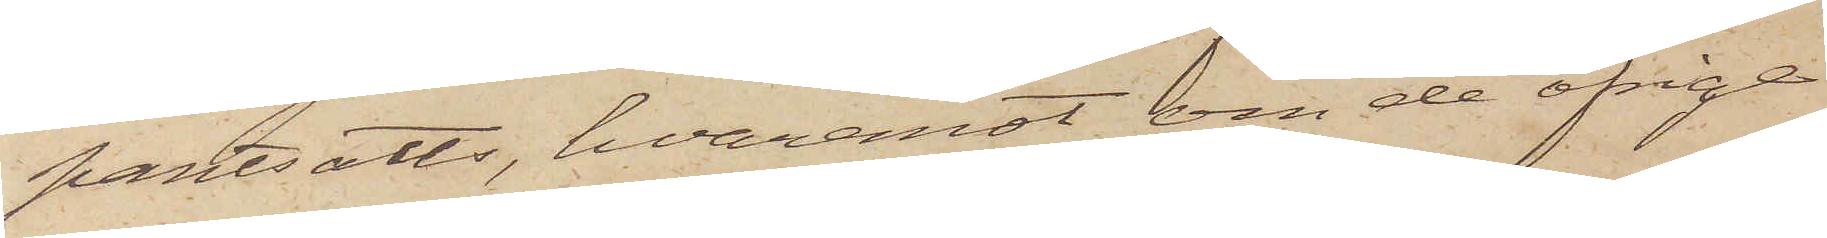pantsatts, hvaremot om de öfrige
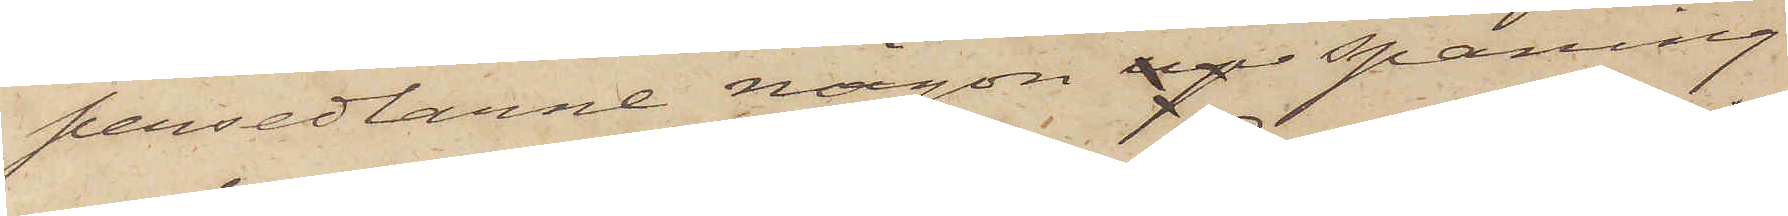persedlarne någon up spaning
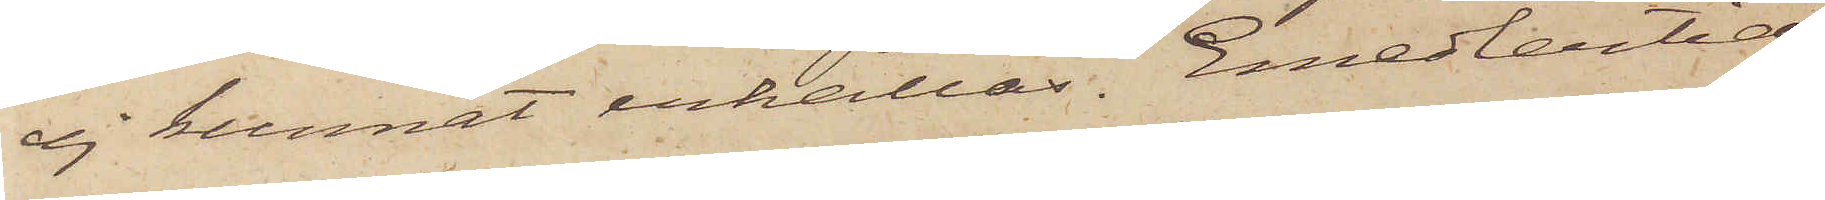ej kunnat erhållas. Emedlertid
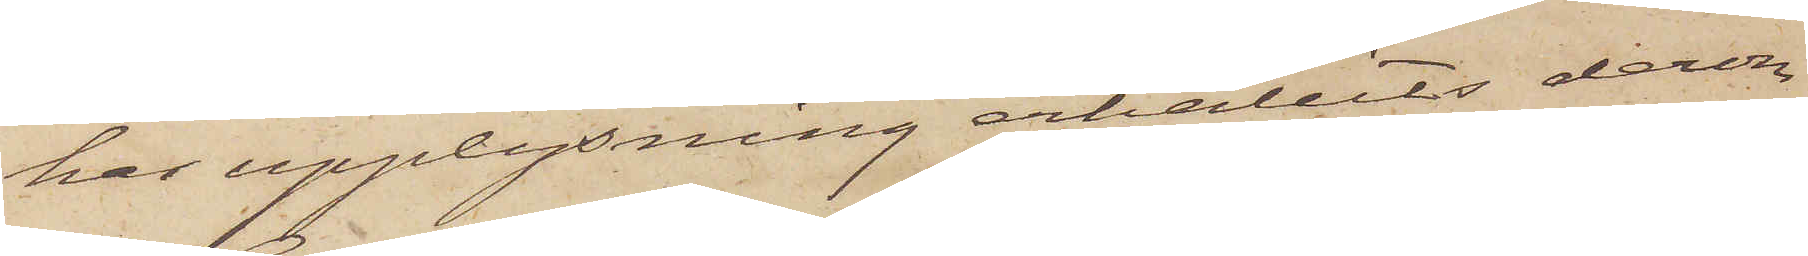har upplysning erhållits derom
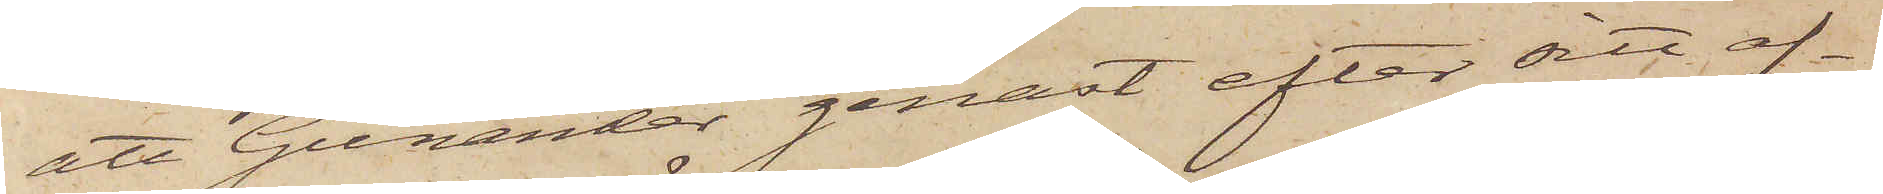att Gunander genast efter sitt af¬
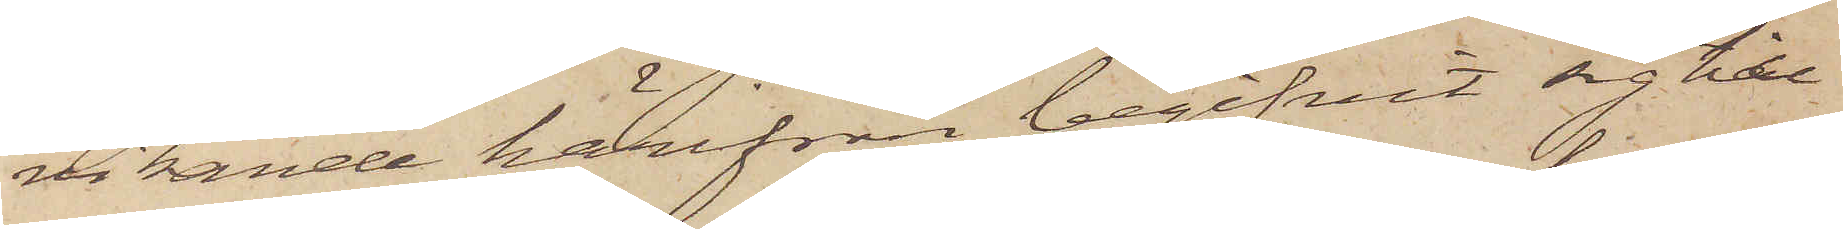vikande härifrån begifvit sig till
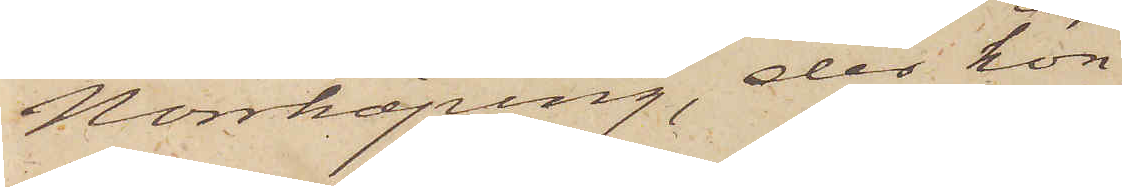Norrköping, der hon
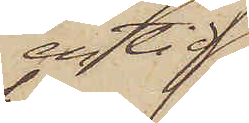en tid
